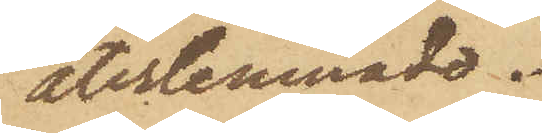återlemnade.
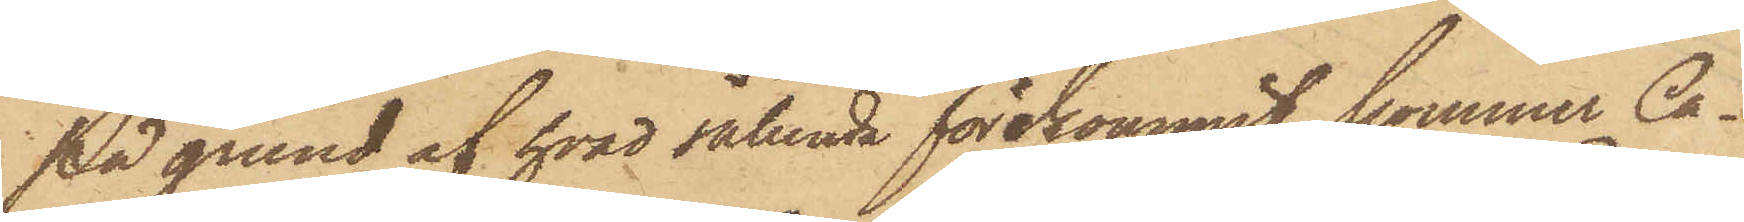På grund af hvad sålunda förekommit, kommer Ca¬
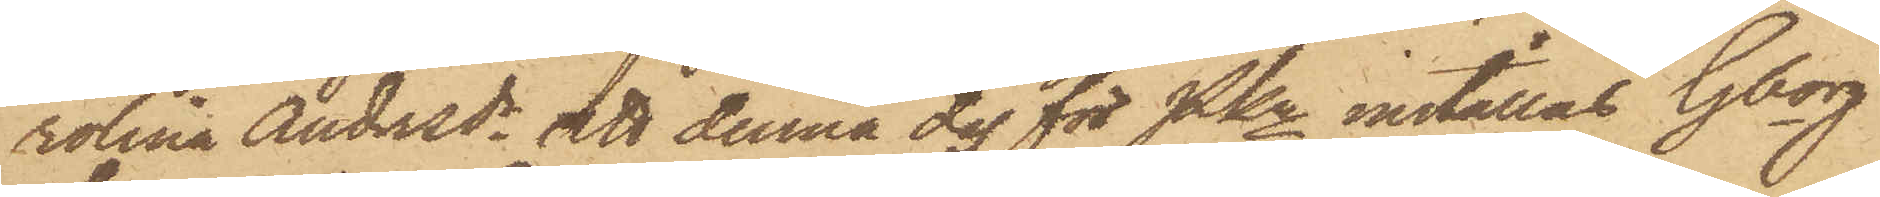rolina Andersdr att denna dag för PKn inställas. Gborg
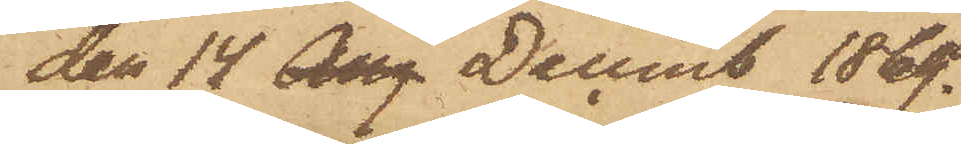den 14 Aug Decemb 1869.
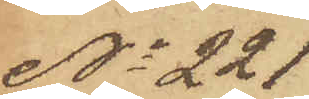No 221
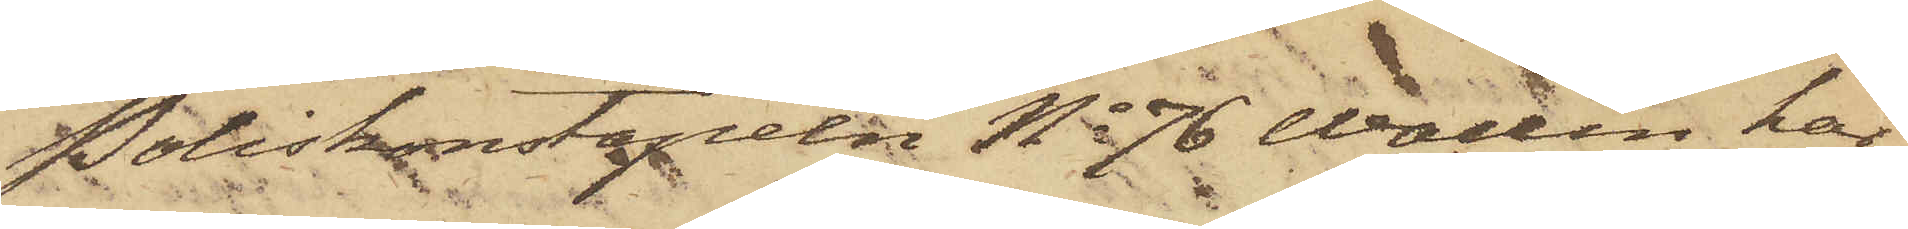Poliskonstapeln No 76 Wallin har
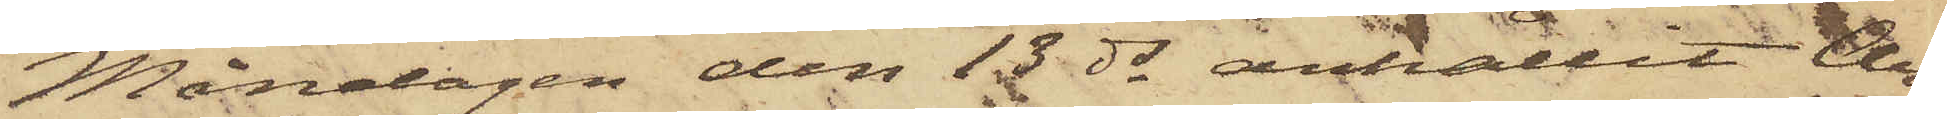Måndagen den 13 ds anhållit Ar¬
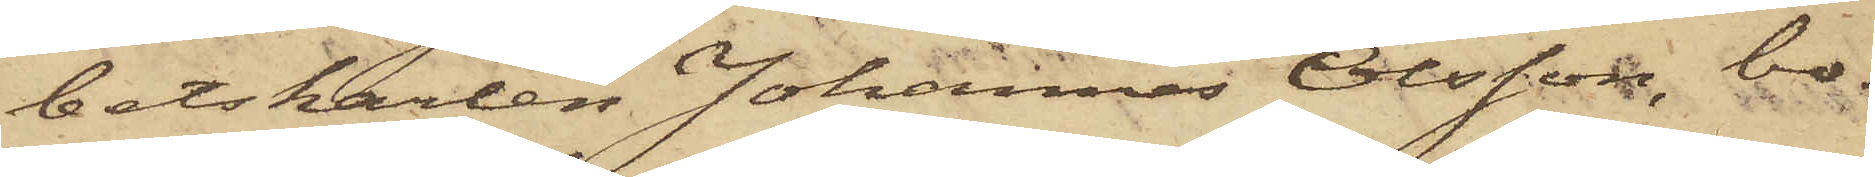betskarlen Johannes Olsson, bo¬
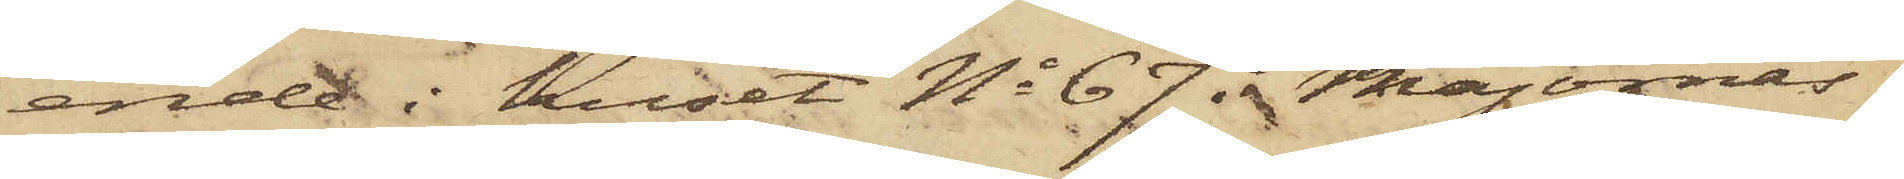ende i huset No 67 i Majornas
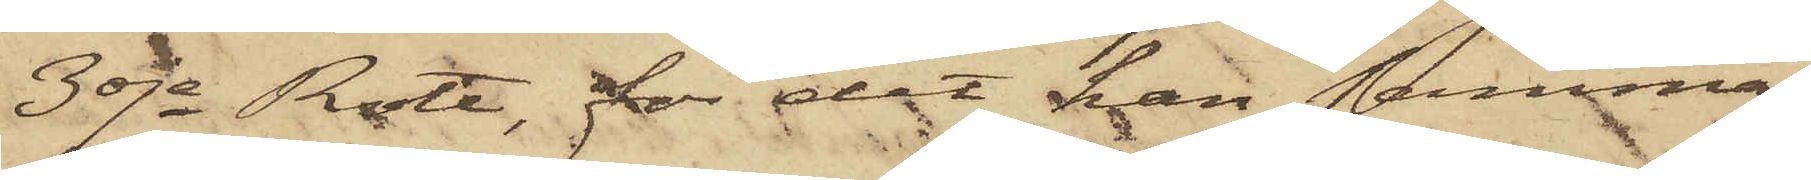3dje Rote, för det han samma
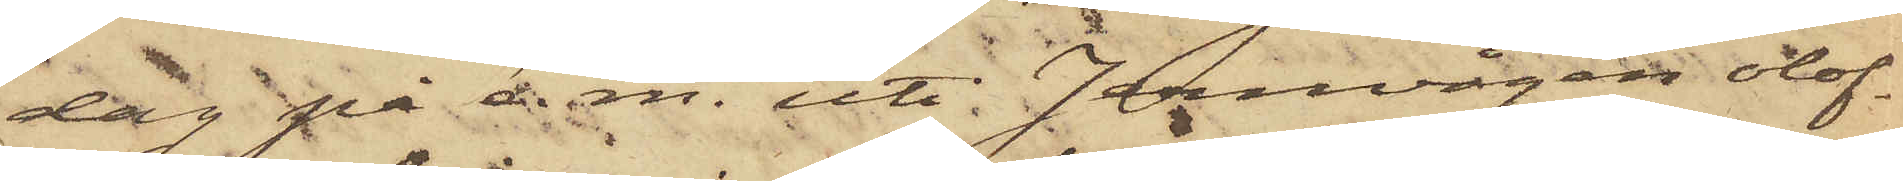dag på e. m. uti Jernvågen olof¬
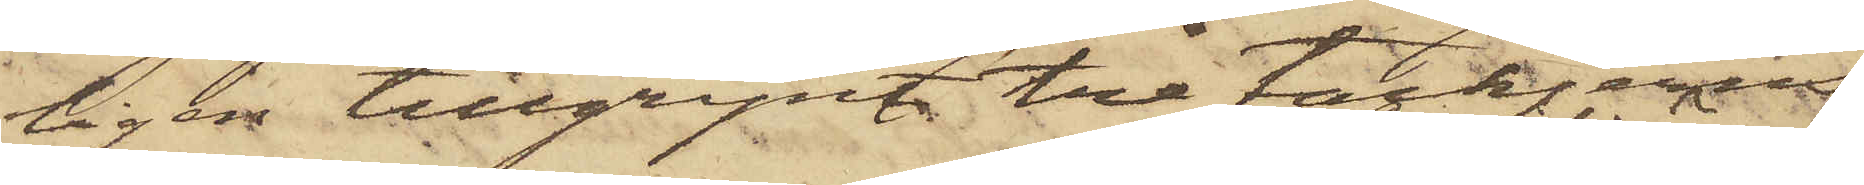ligen tillgripit tre tackjerns¬
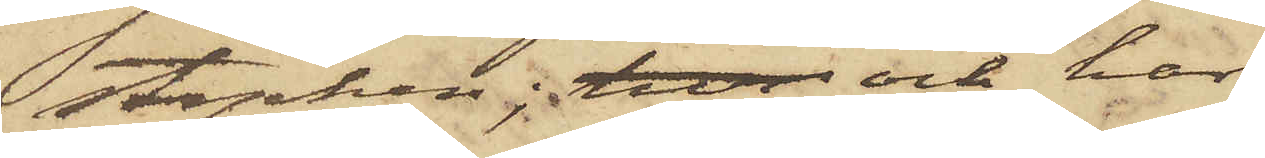stycken; hva och har
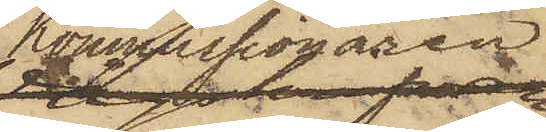Kommissionären
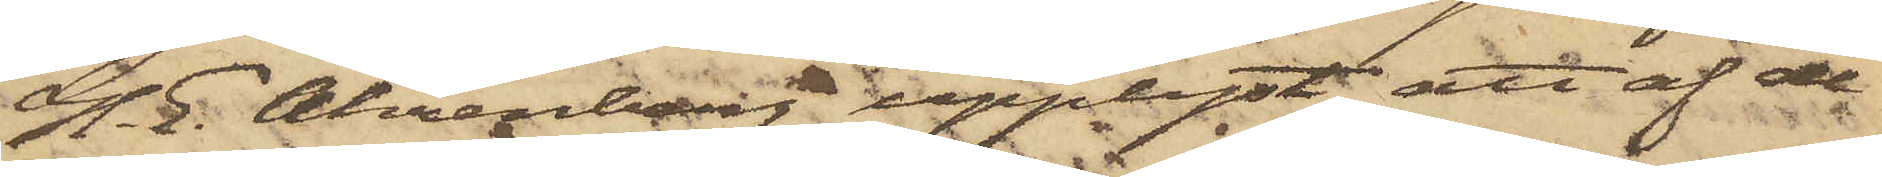H. E. Ahrenberg upplyst att af de
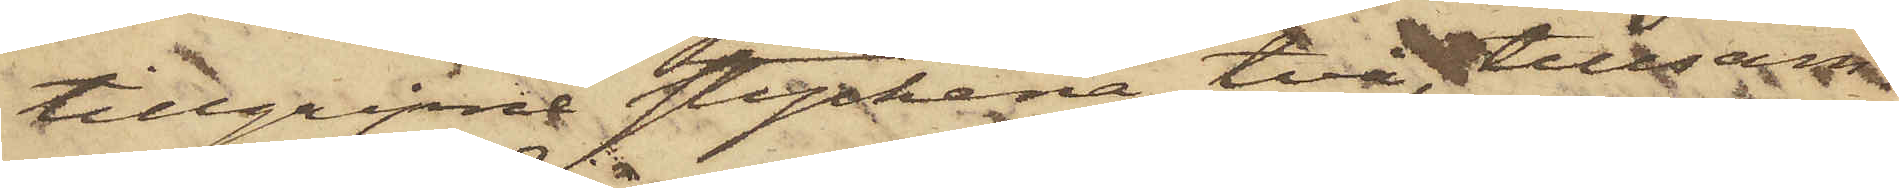tillgripne styckena två, tillsam¬
